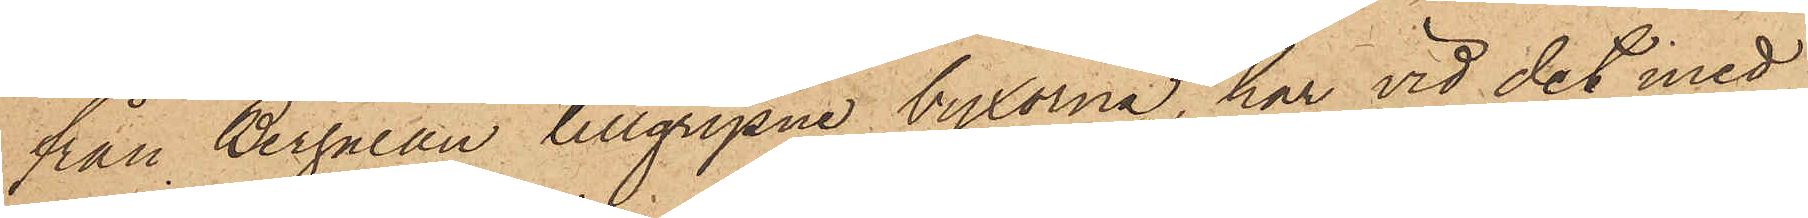från Bergman tillgripne byxorna, har vid det med
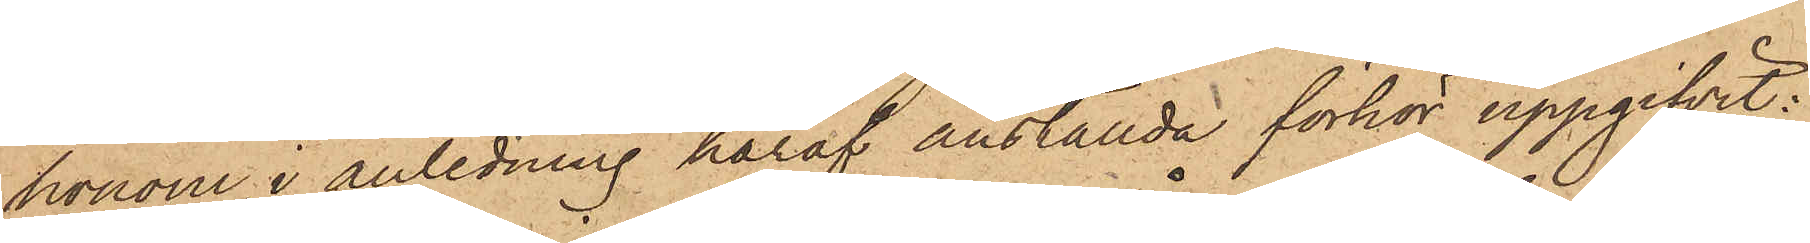honom i anledning häraf anställda förhör uppgifvit:
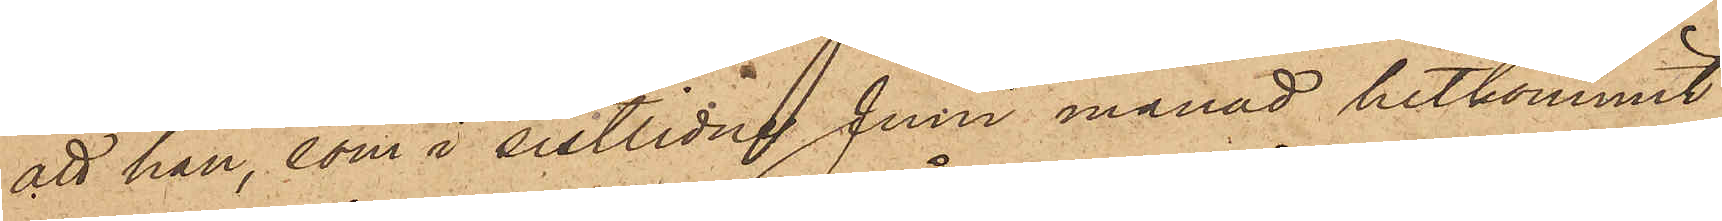att han, som i sistlidne Juni månad hitkommit
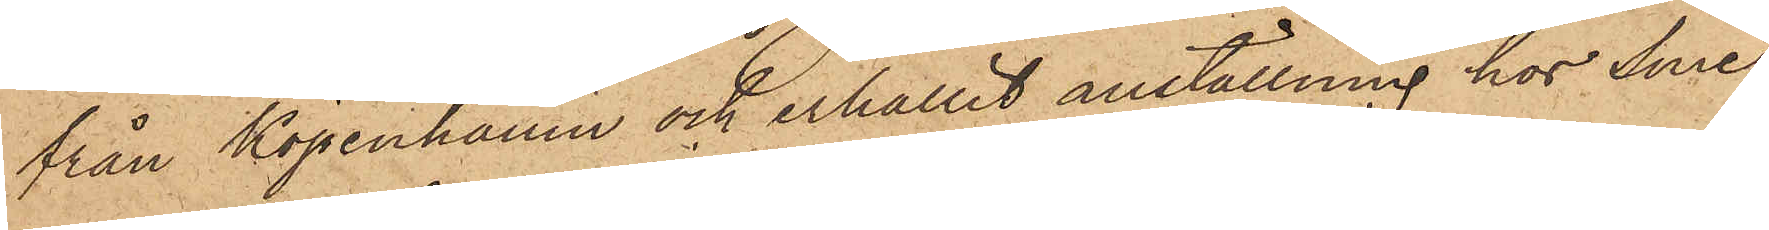från Köpenhamn och erhållit anställning hos Sme¬
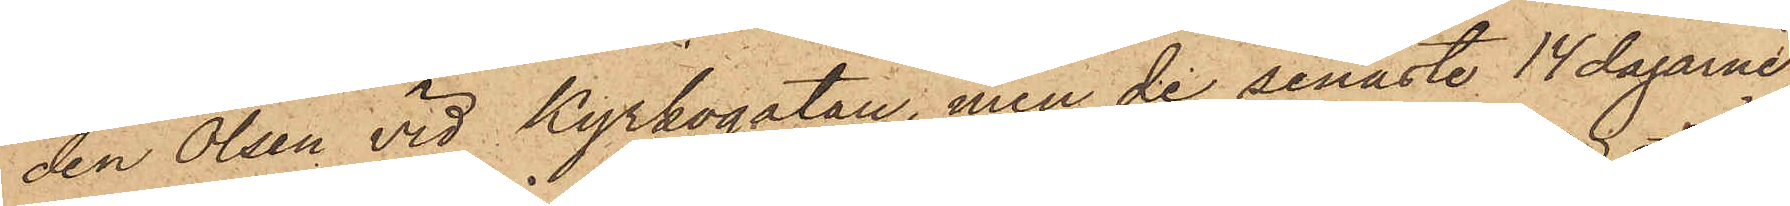den Olsen vid Kyrkogatan, men de senaste 14 dagarne
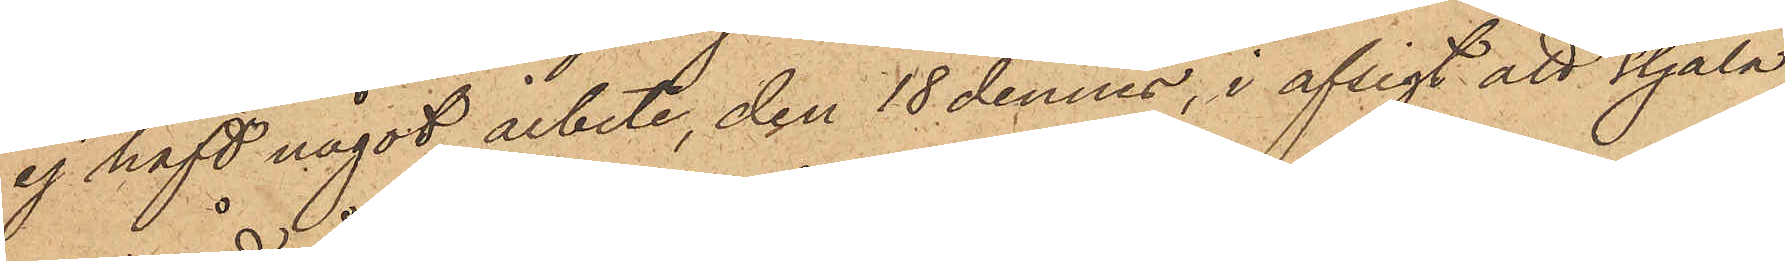ej haft något arbete, den 18 dennes, i afsigt att stjäla,
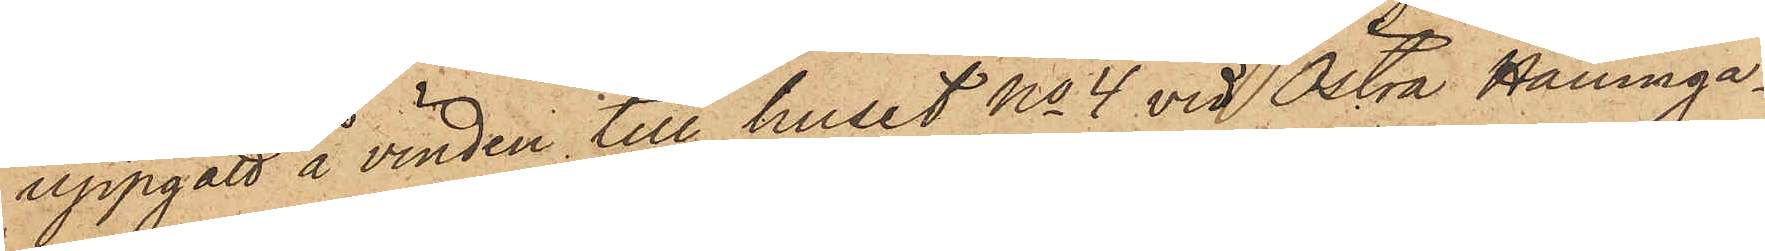uppgått å vinden till huset No 4 vid Östra Hamnga¬
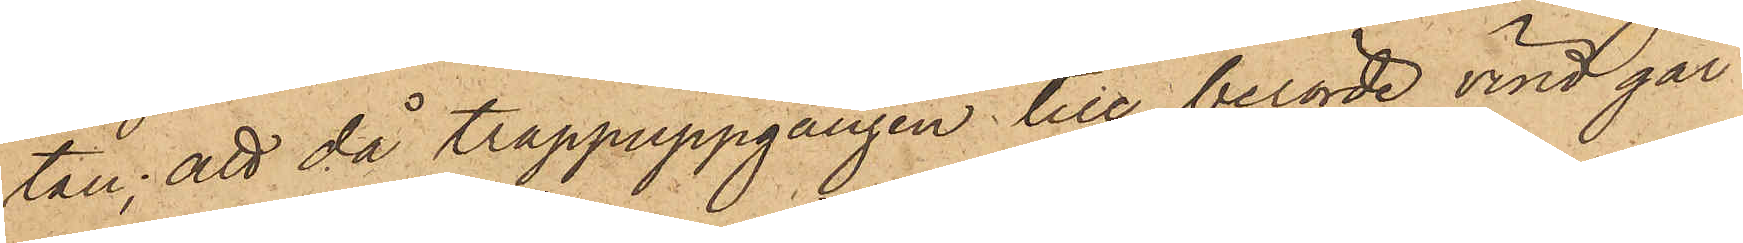tan; att då trappuppgången till berörde vind går
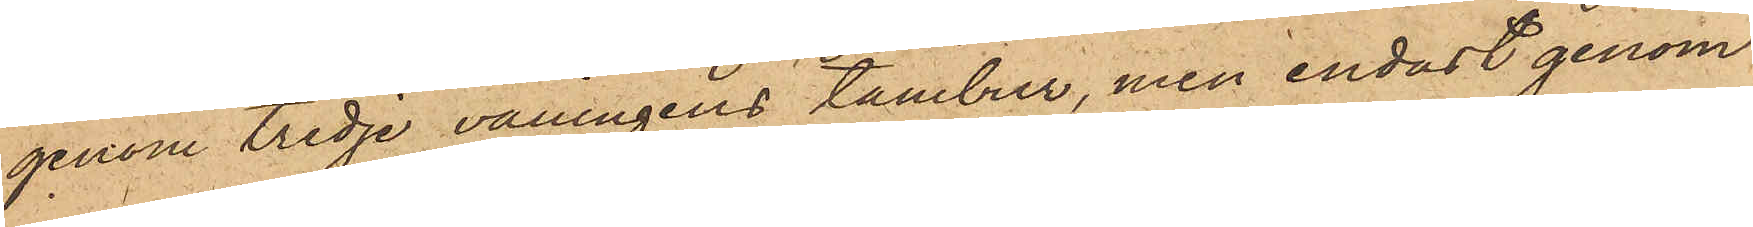genom tredje våningens tambur, men endast genom
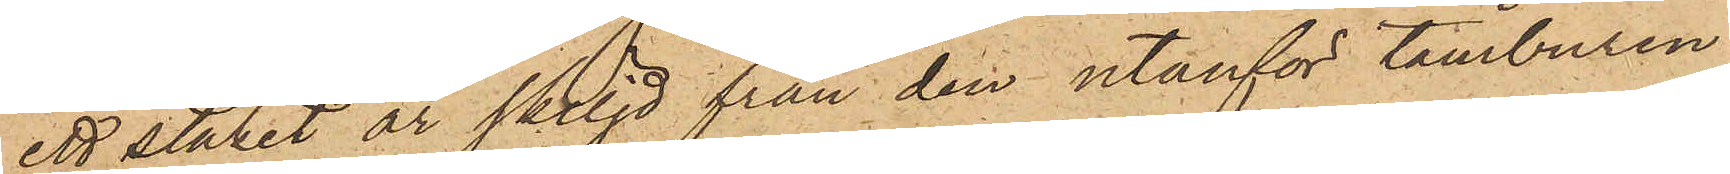ett staket är skiljd från den utanför tamburen
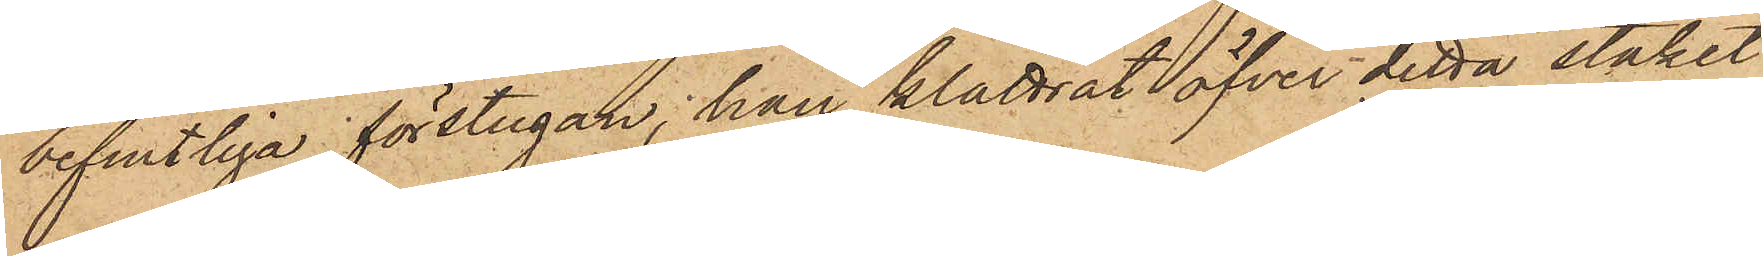befintliga förstugan, han klättrat öfver detta staket
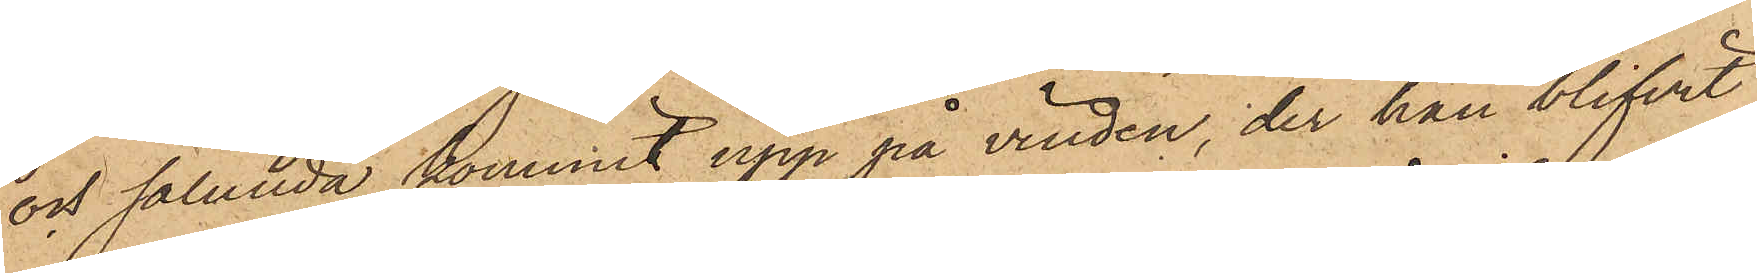och sålunda kommit upp på vinden, der han blifvit
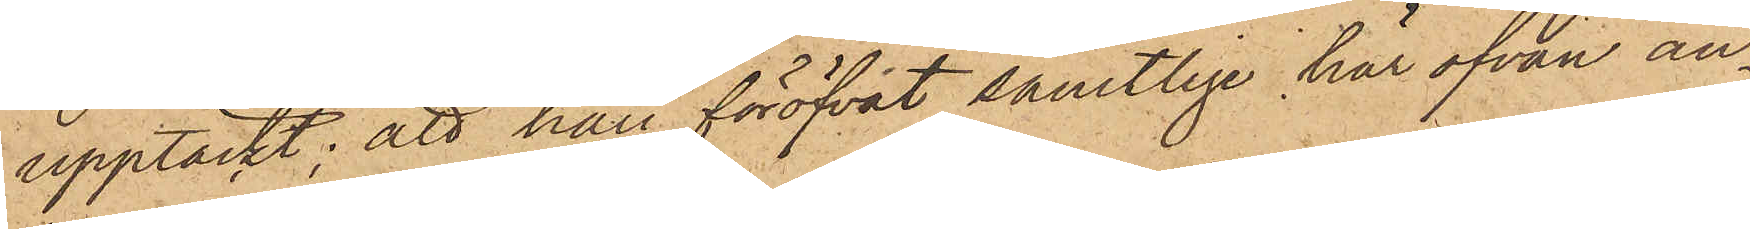upptäckt; att han föröfvat samtlige här ofvan an¬
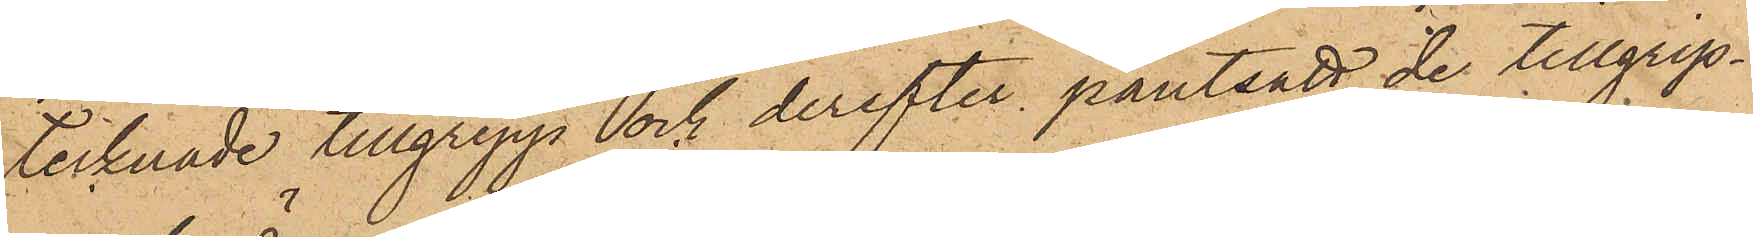tecknade tillgrepp och derefter pantsatt de tillgrip¬
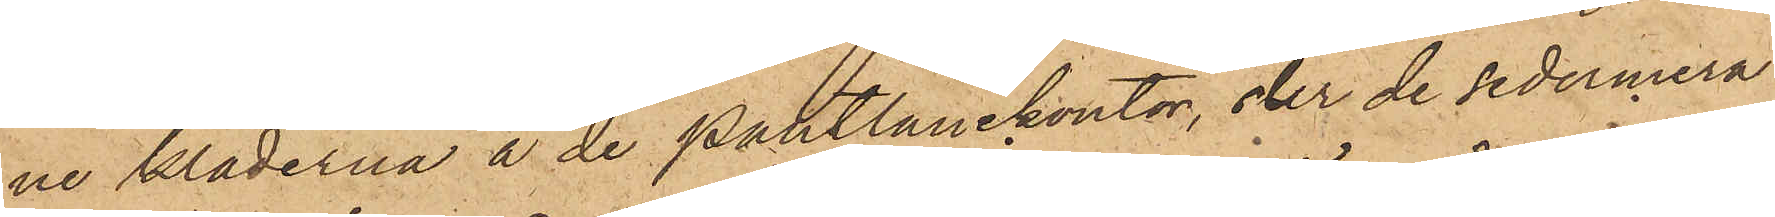ne kläderna å de pantlånekontor, der de sedermera
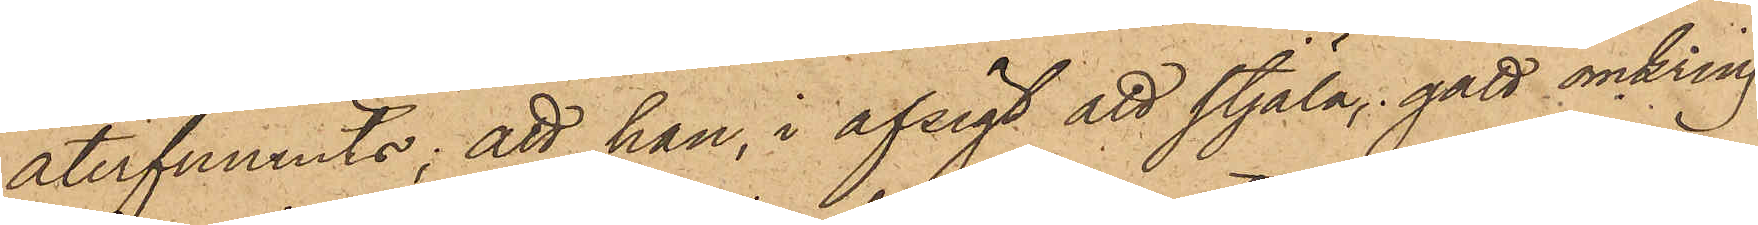återfunnits; att han, i afsigt att stjäla, gått omkring
